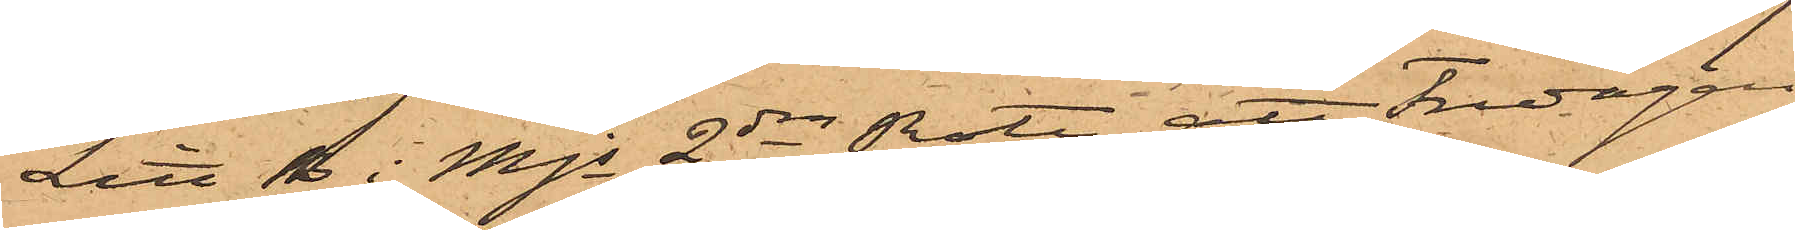Litt B i Mjs 2dra Rote, att Fredagen
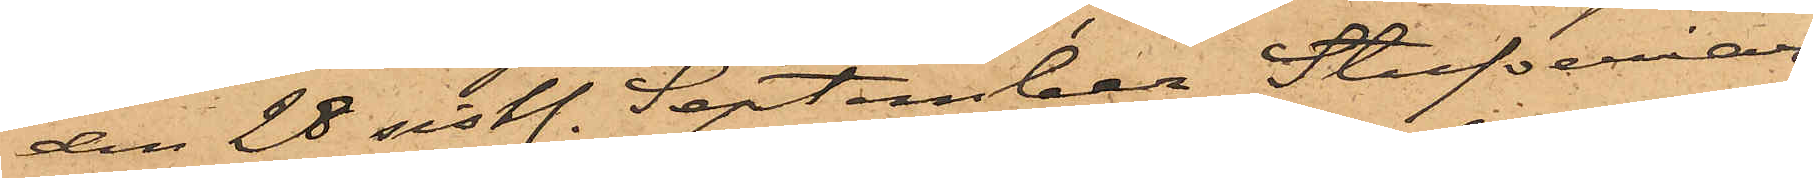den 28 sistl. September Stufveriar¬
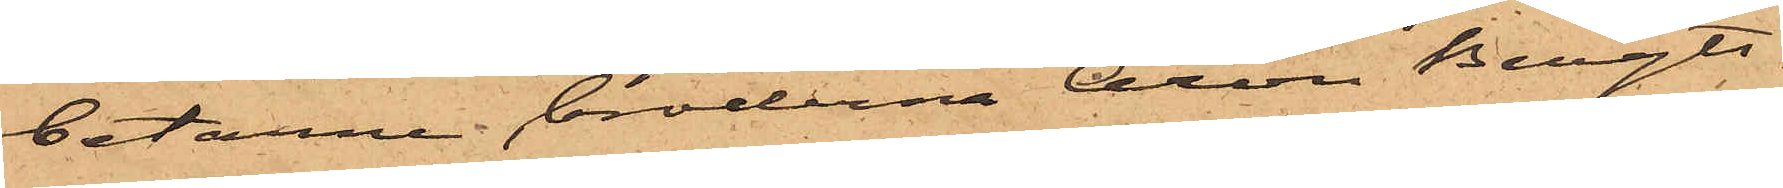betarne bröderna Aron Bengts¬
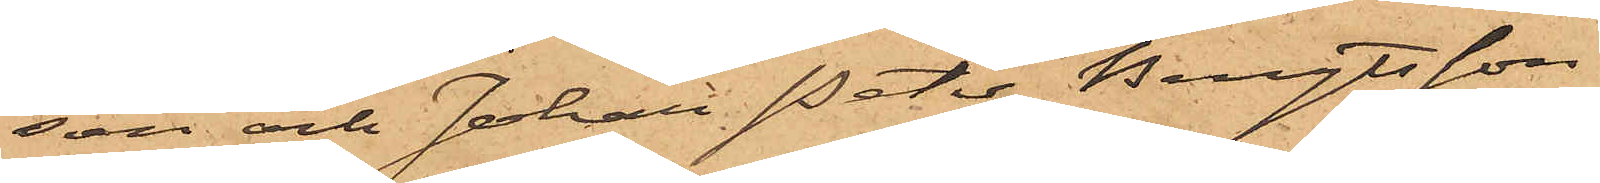son och Johan Peter Bengtsson
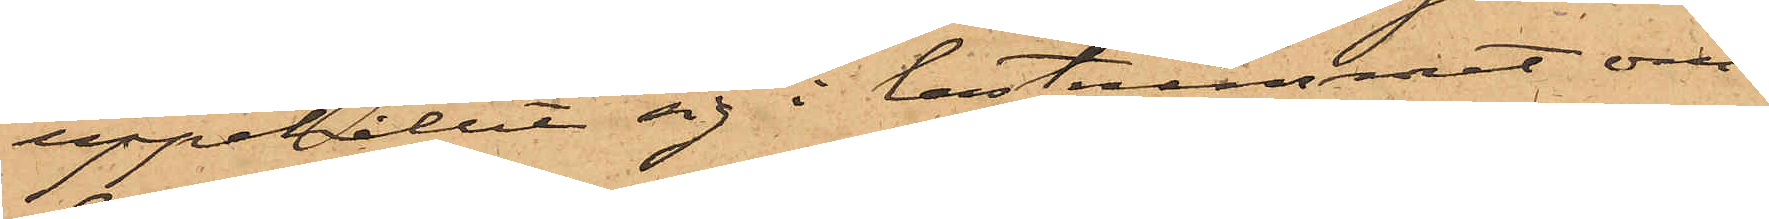uppehållit sig i lastrummet om¬
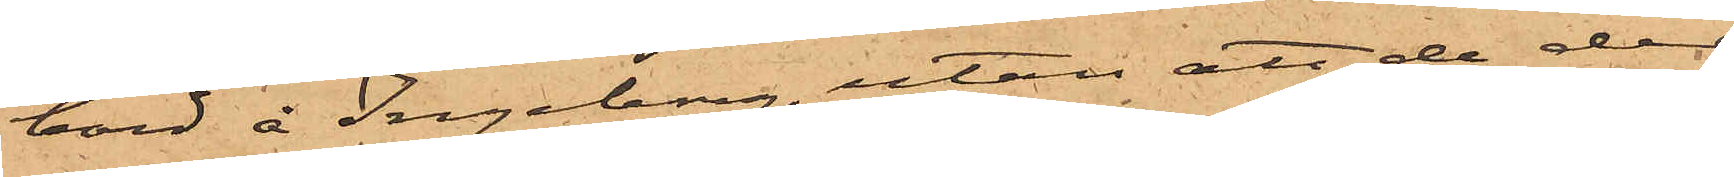bord å Ingeborg, utan att de der
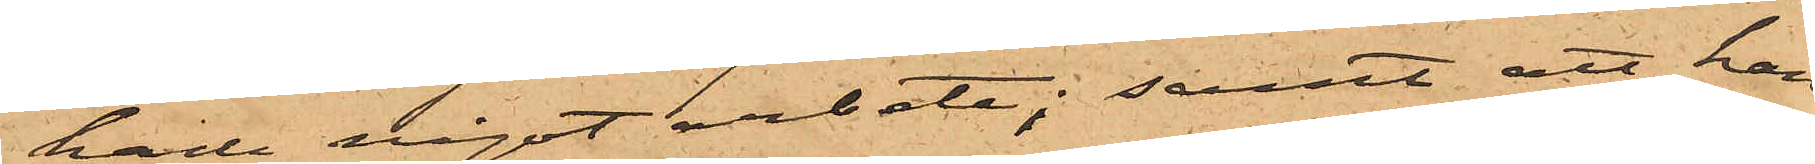hade något arbete; samt att han
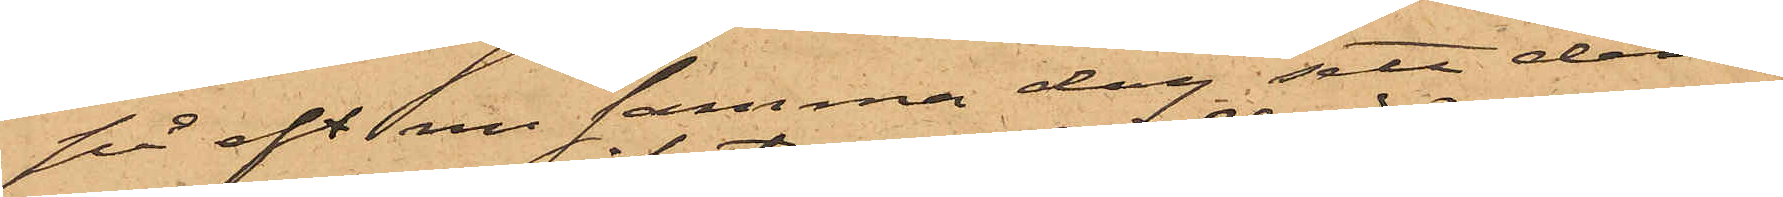på eft m samma dag sett dem
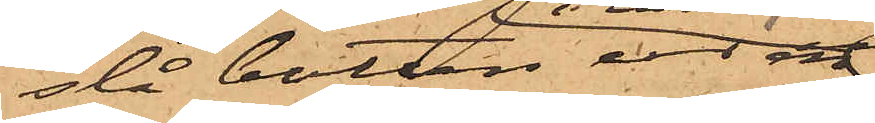slå botten ur en
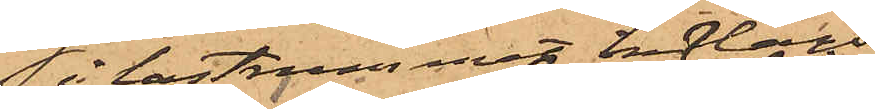i lastrummet inlagd
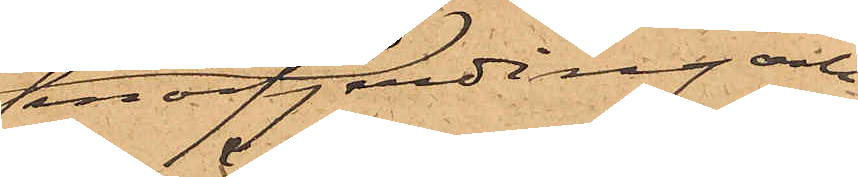smörfjerding och
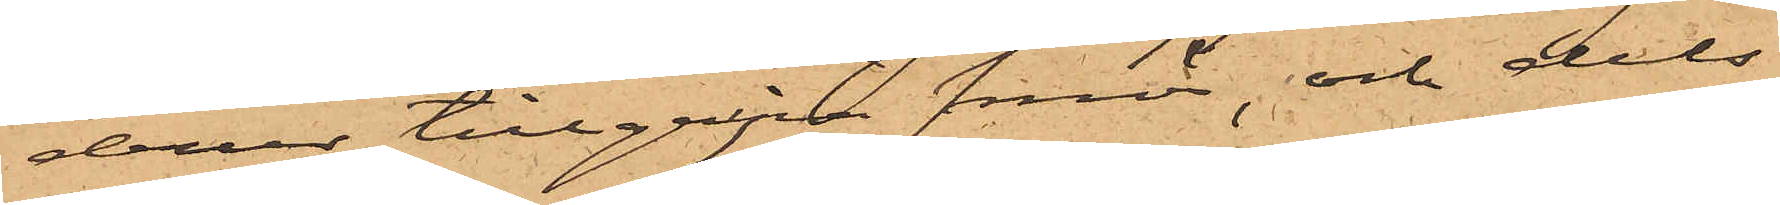derur tillgripa smör, och dels
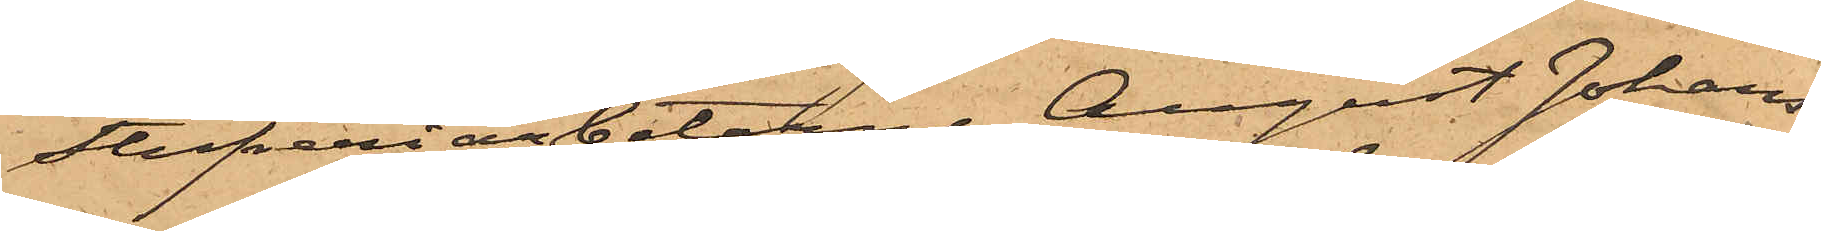Stufveriarbetarne August Johans¬
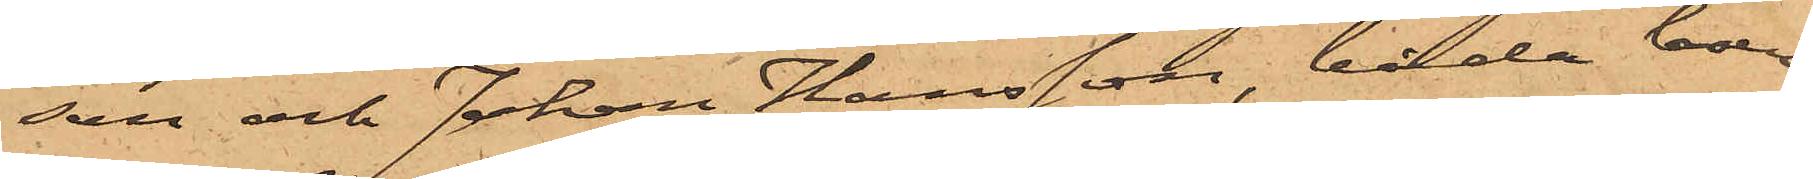son och Johan Hansson, båda boen¬
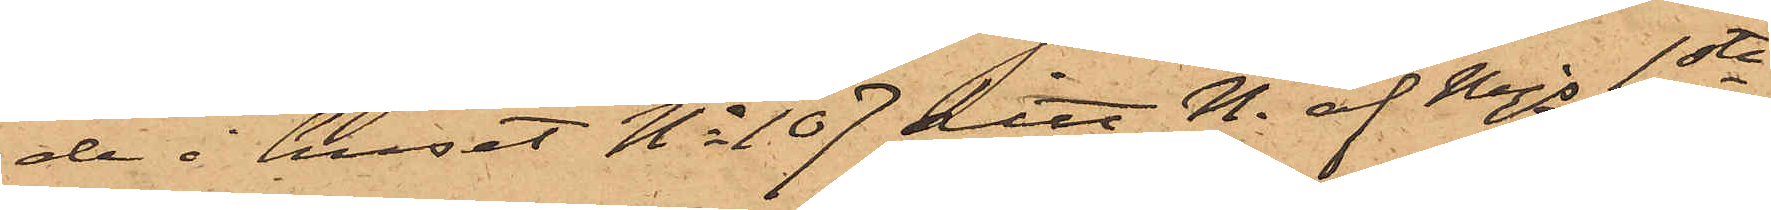de i huset No 107 Litt. N. af Mjs 1sta
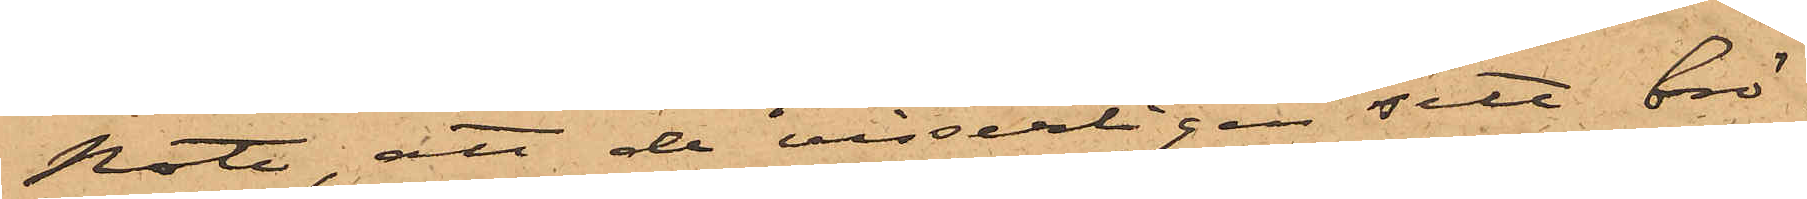Rote, att de visserligen sett brö¬
